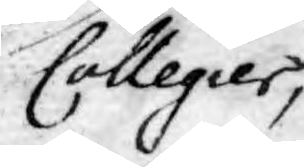Collegier,
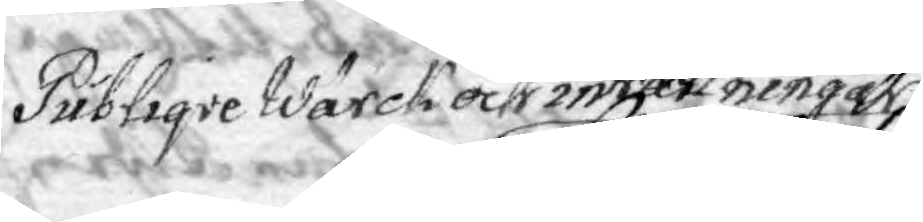Publiqve Wärck och inrättningar,
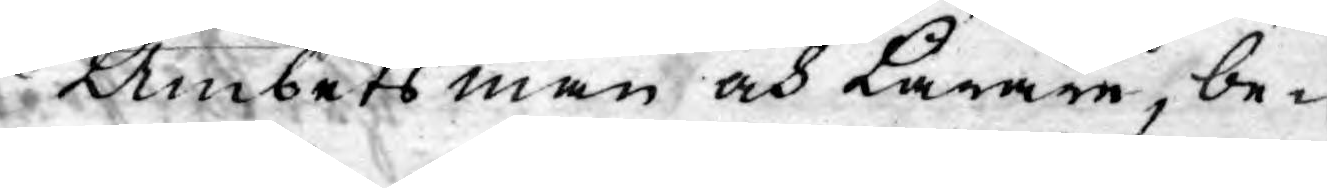Ämbetsmän och Lärare, be¬
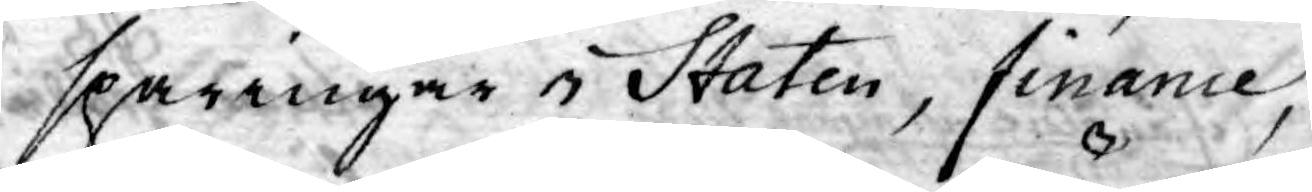sparingar i Staten, finance,
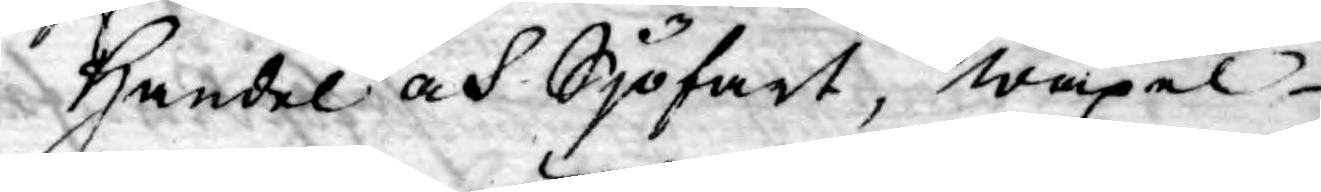Handel och Sjöfart, wäxel¬
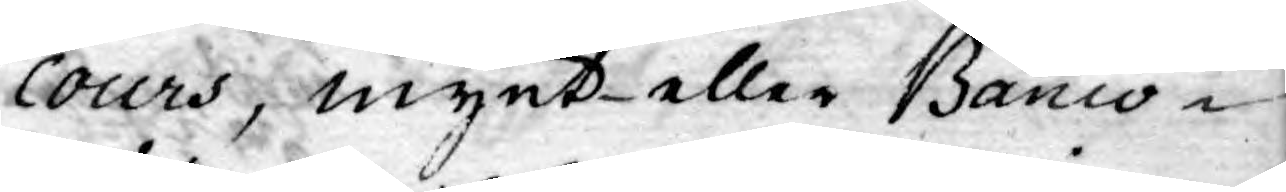cours, mynt- eller Banco¬
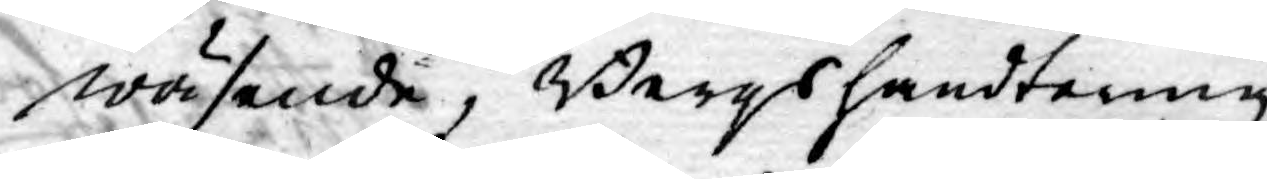wäsende, Bergshandtering
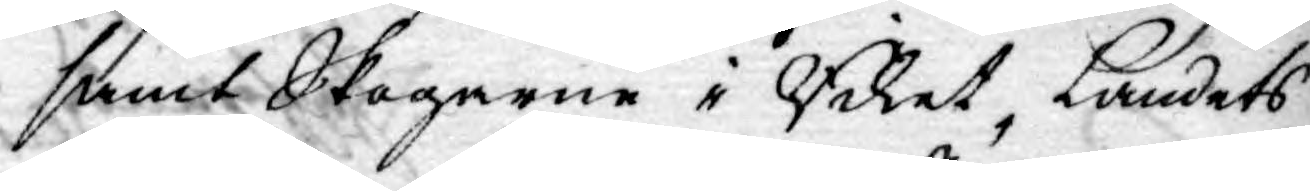samt Skogarne i Riket, Landets
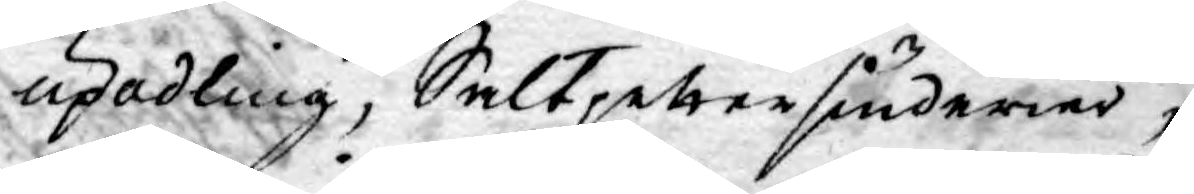upodling, Saltpettersiuderier,
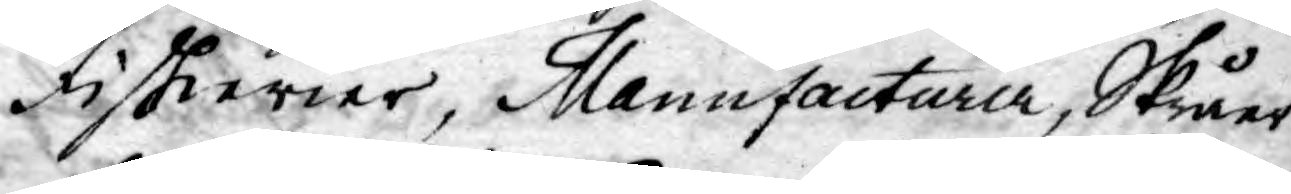Fiskerier, Manufacturer, Skråer
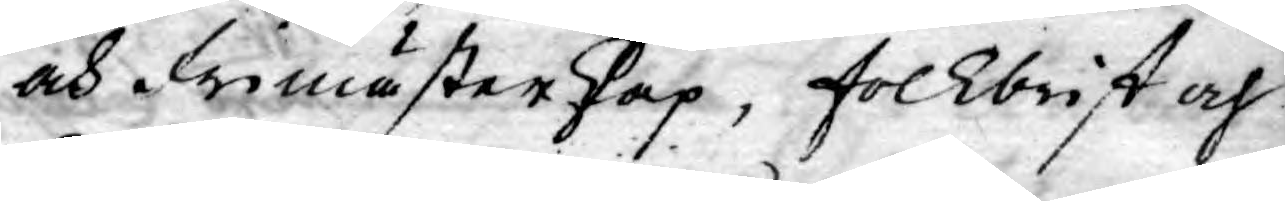och Frimästerskap, folkbrist och
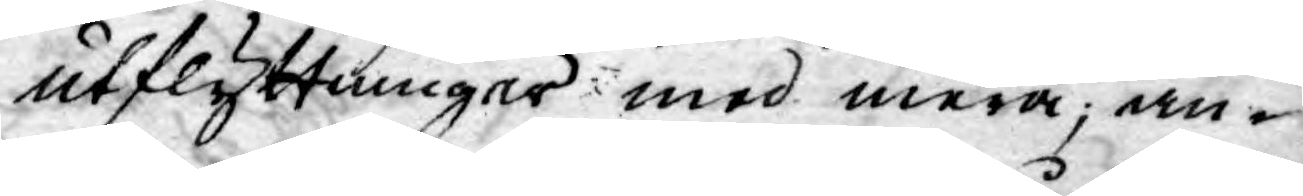utflyttninger med mera; an¬
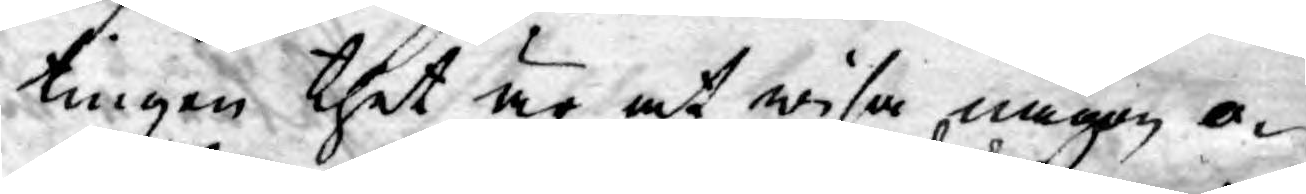tingen thet är at wisa någon o¬
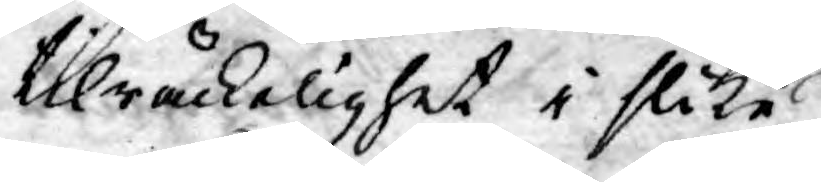tilräckelighet i slike
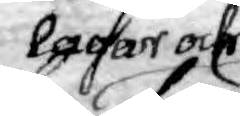lagar och
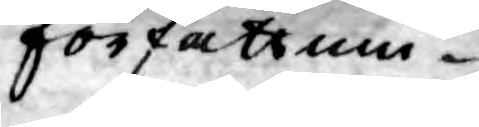författnin¬
